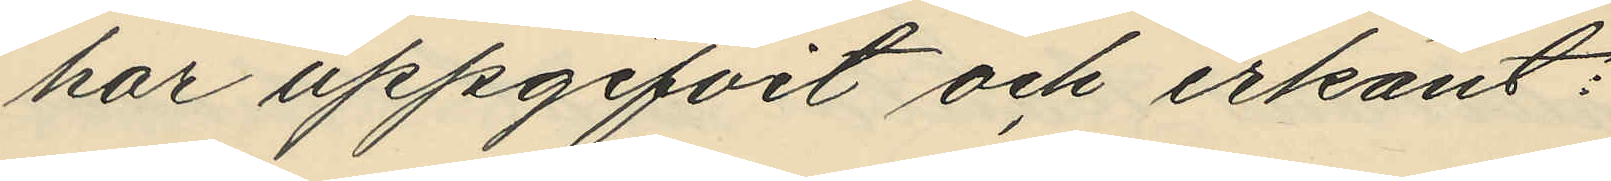har uppgifvit och erkänt:
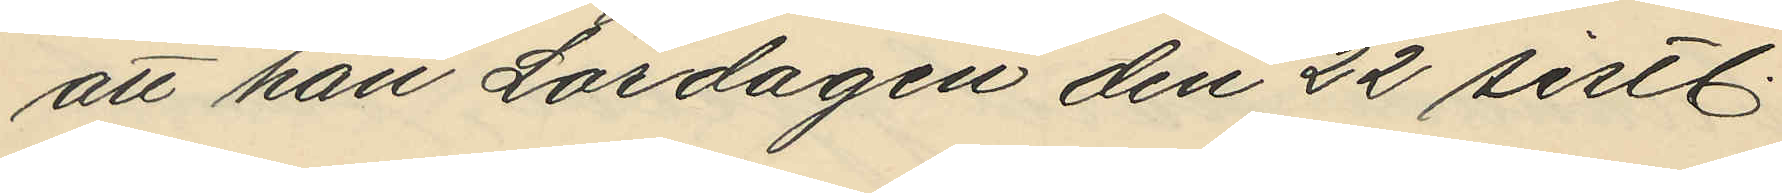att han Lördagen den 22 sistl.
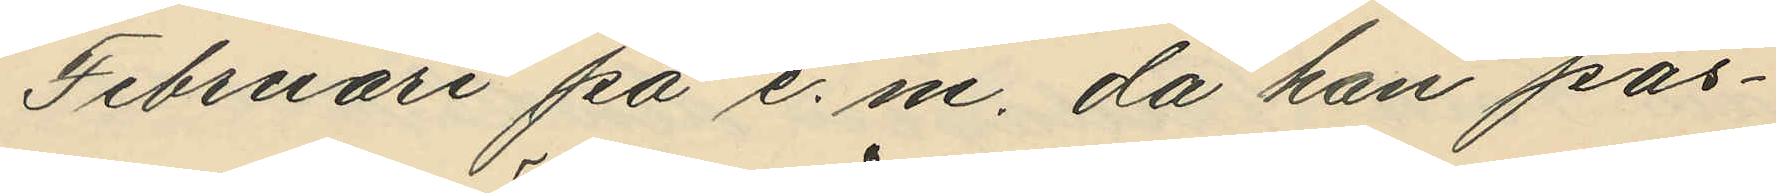Februari på e. m. då han pas¬
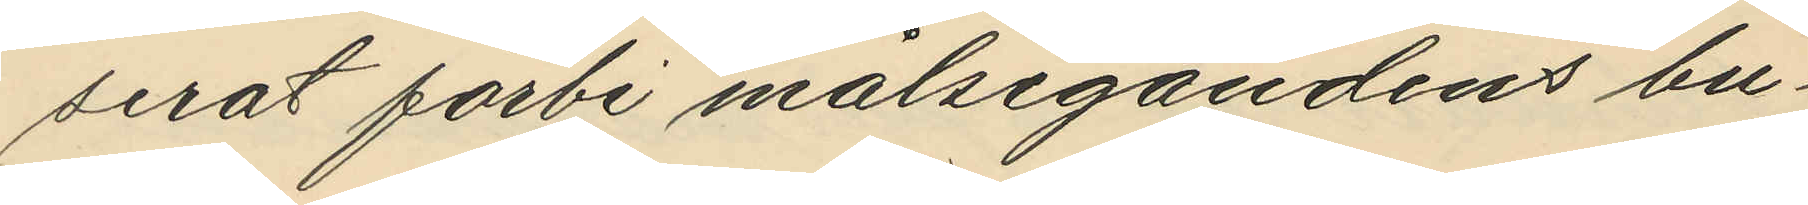serat förbi målsegandes bu¬
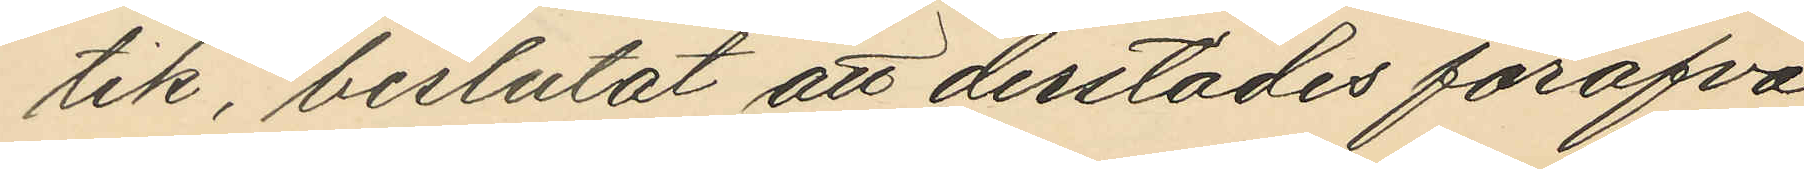tik, beslutat att derstädes föröfva
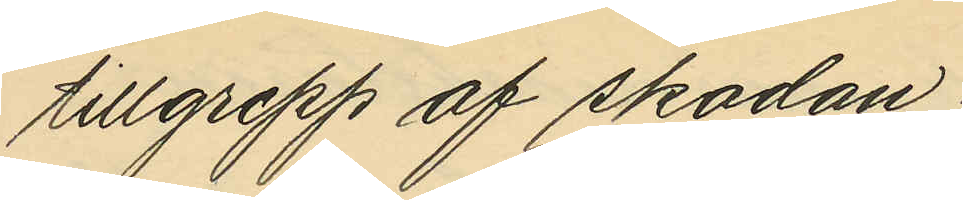tillgrepp af skodan;
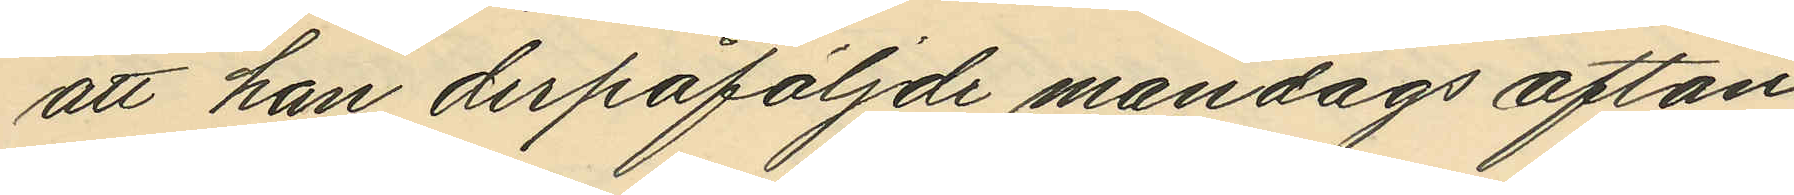att han derpåföljde måndags afton
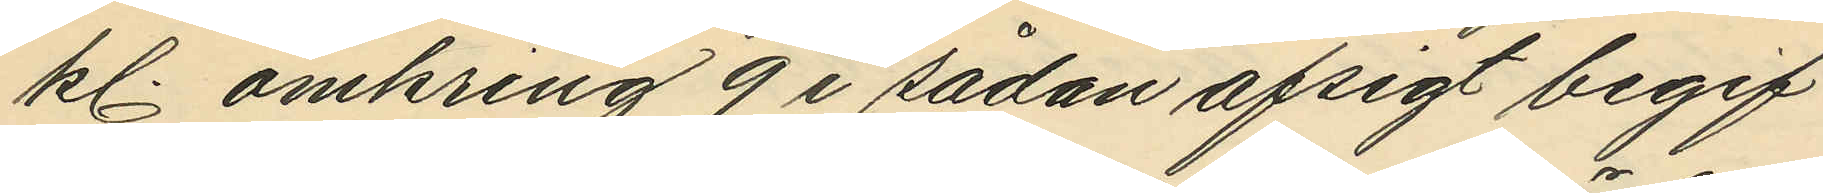kl. omkring 9 i sådan afsigt begif¬
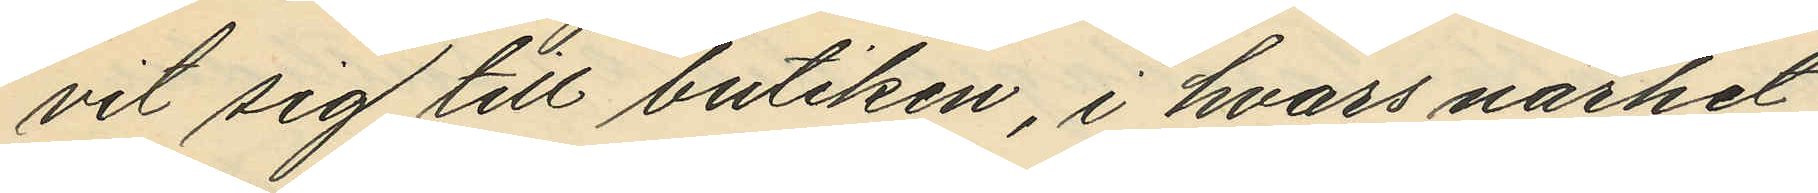vit sig till butiken, i hvars närhet
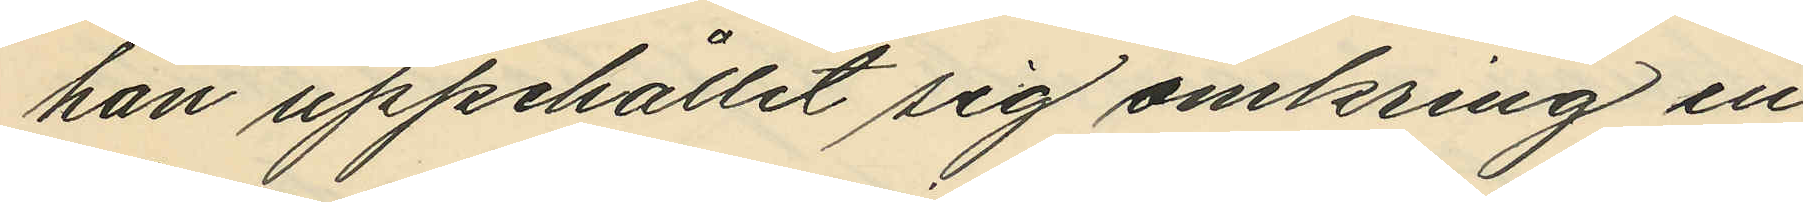han uppehållit sig omkring en
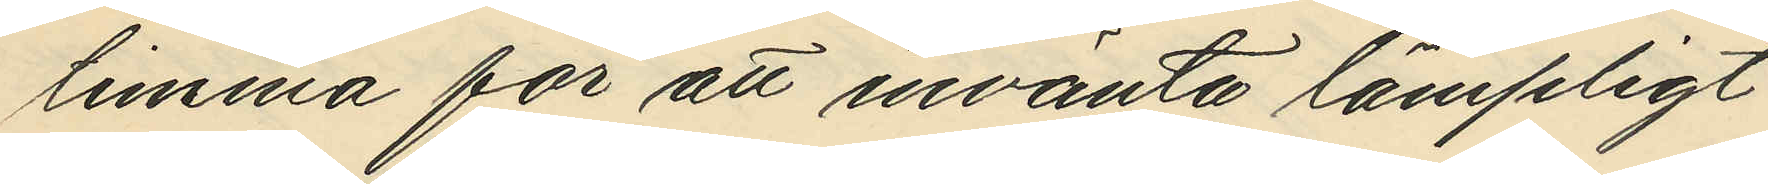timma för att invänta lämpligt
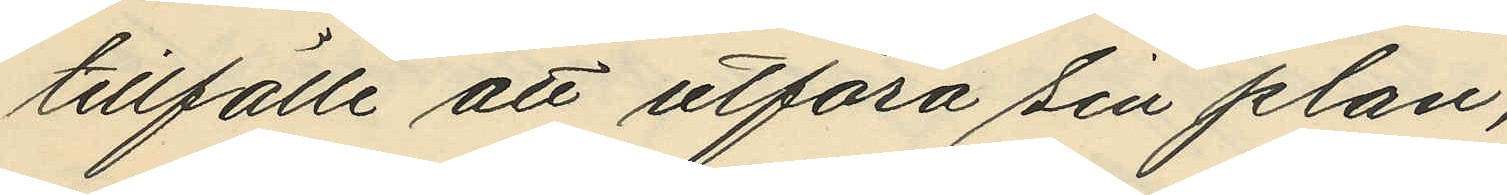tillfälle att utföra sin plan;
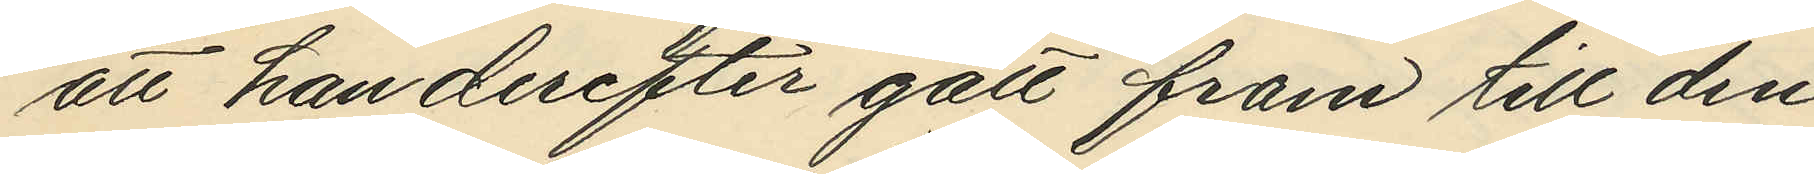att han derefter gått fram till den
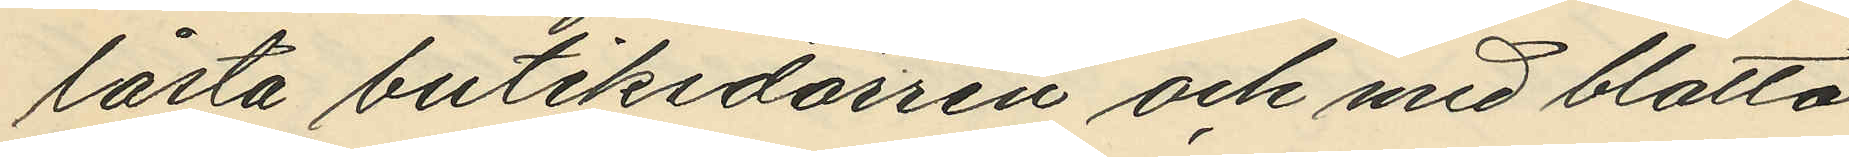låsta butiksdörren och med blotta
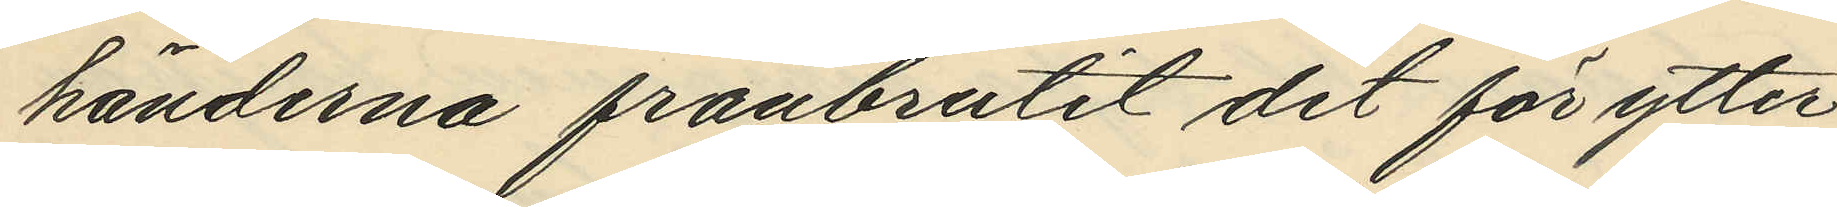händerna frånbrutit det för ytter¬
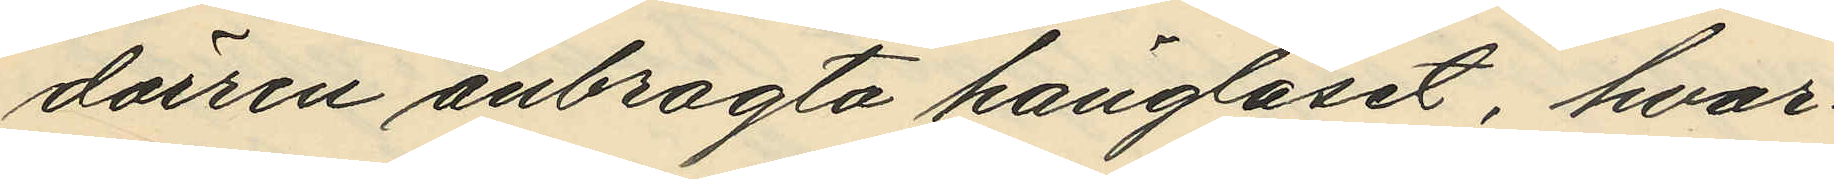dörren anbragda hänglåset, hvar¬
